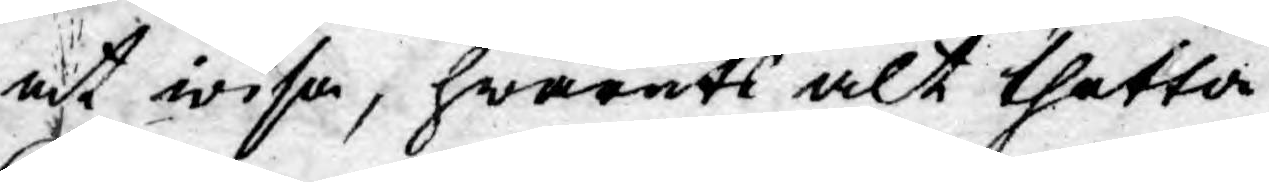at wisa, hwaruti alt thetta
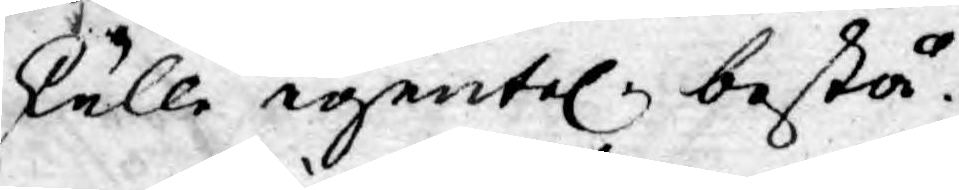skulle egentel. bestå.
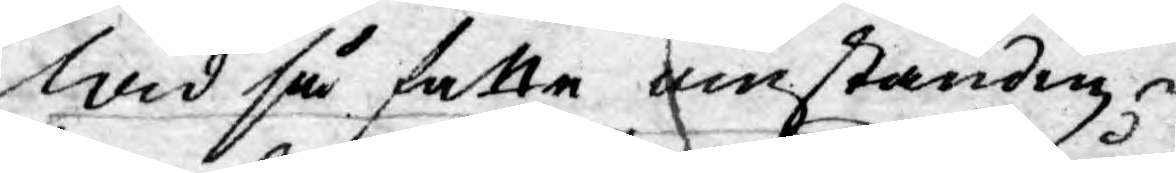Wid så satte omständig¬
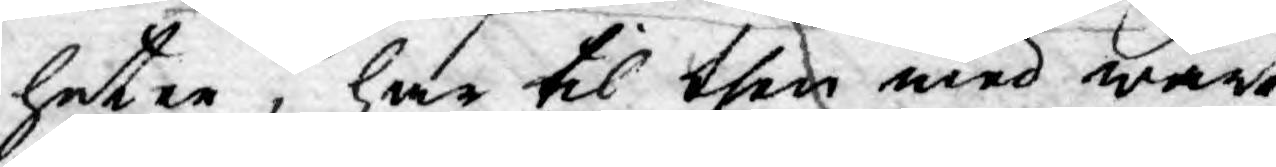heter, har til then med wårt
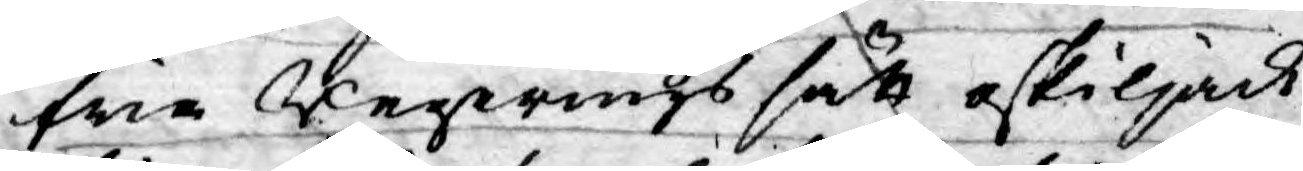fria Regerings sätt oskiljack¬
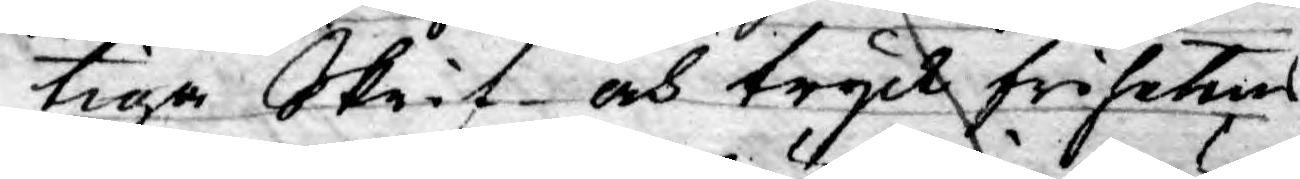tiga Skrif- och tryck  frihetens
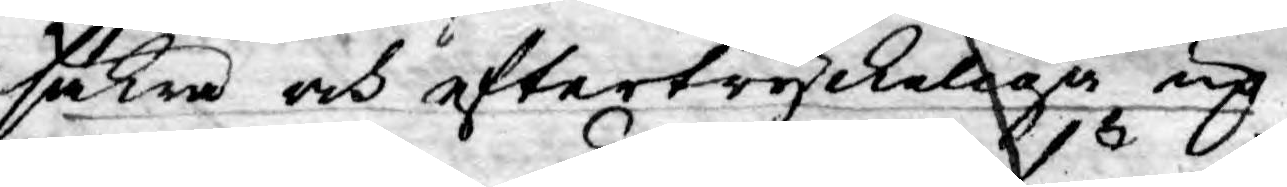säkra och eftertryckeliga up¬
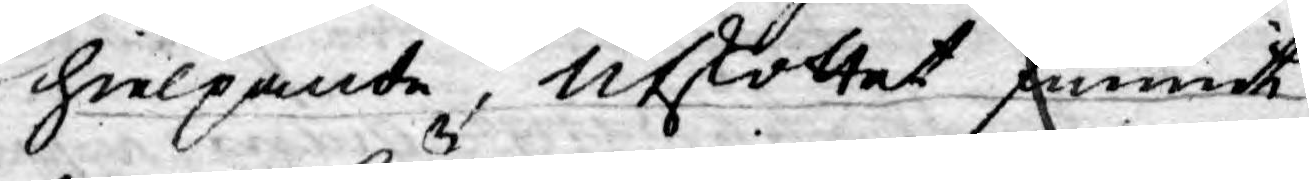hielpande, Utskottet funnit
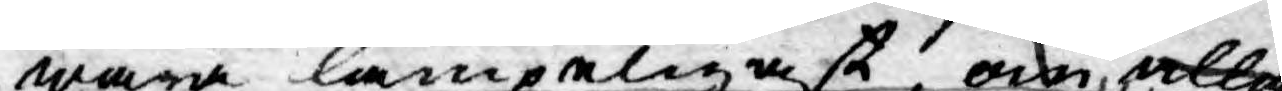wara lämpeligast, om alla
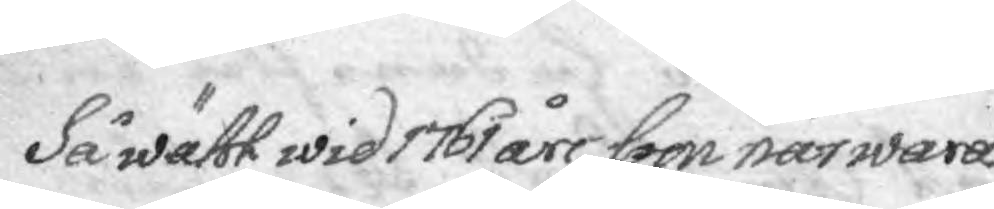Så wähl wid 1761 års som närwaran¬
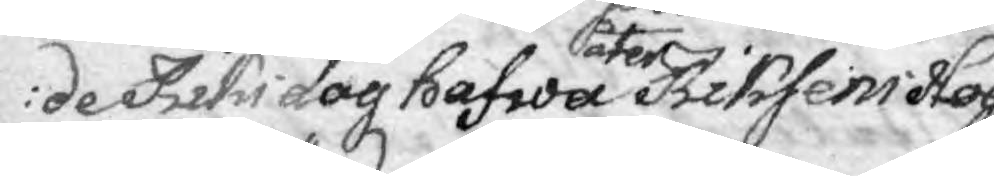de Riksdag hafwa åter Riksens Hög¬
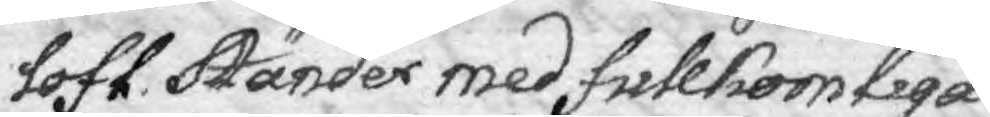lofl. Ständer med fullkomliga¬
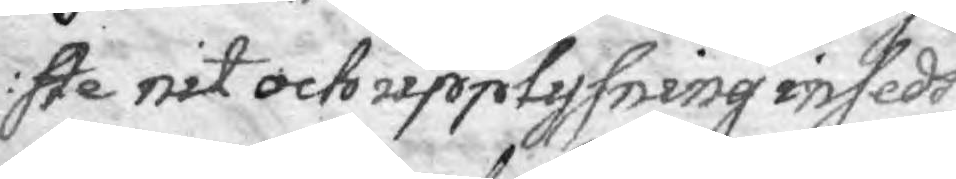ste nit och upplysning insedt
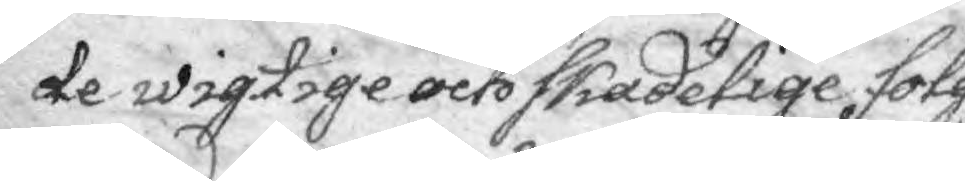de wigtige och skadelige fölg¬
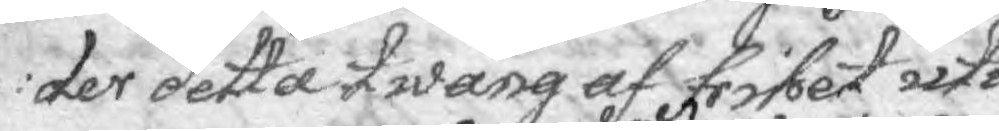der detta twång af frihet uti
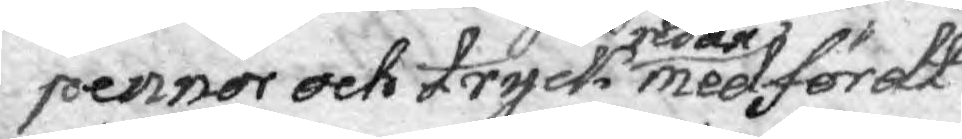pennor oct tryck redan medfördt
